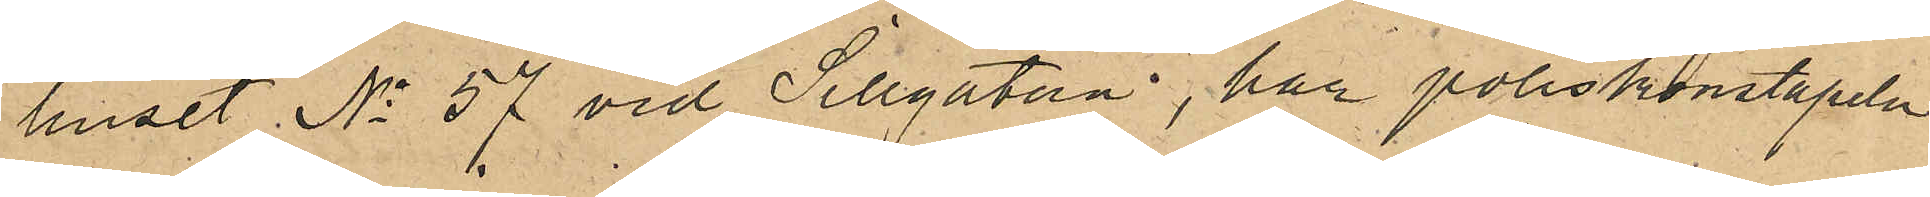huset No 57 vid Sillgatan, har poliskonstapeln
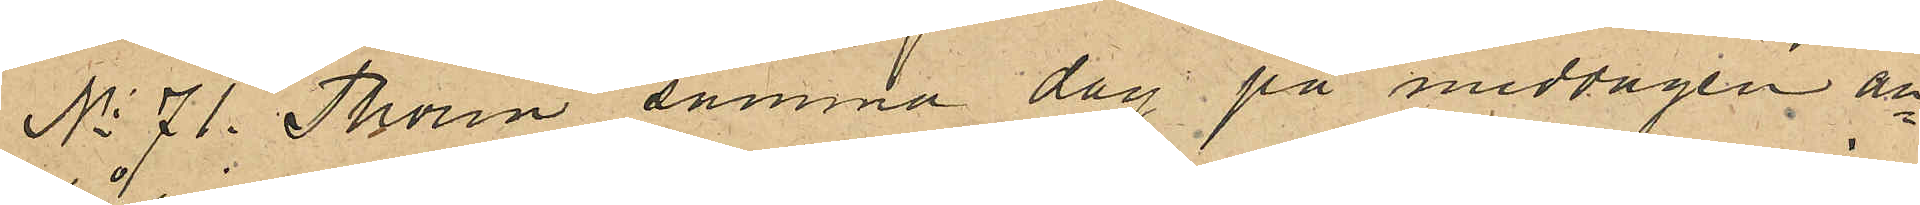No 71 Thorin samma dag på middagen an¬
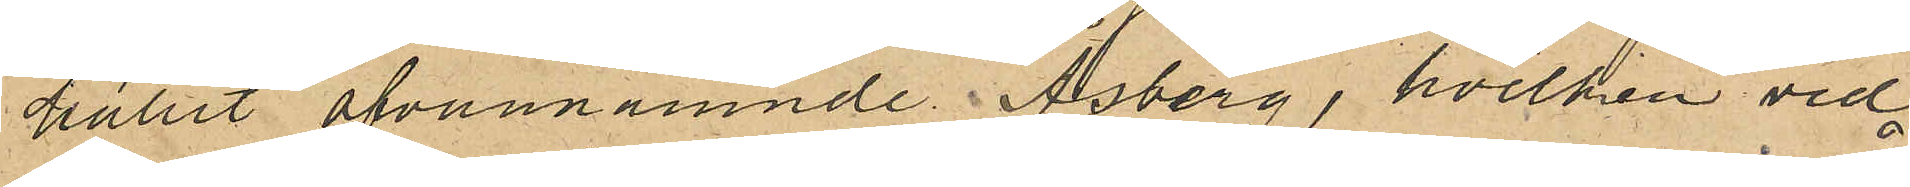hållit ofvannämnde Åsberg, hvilken vid
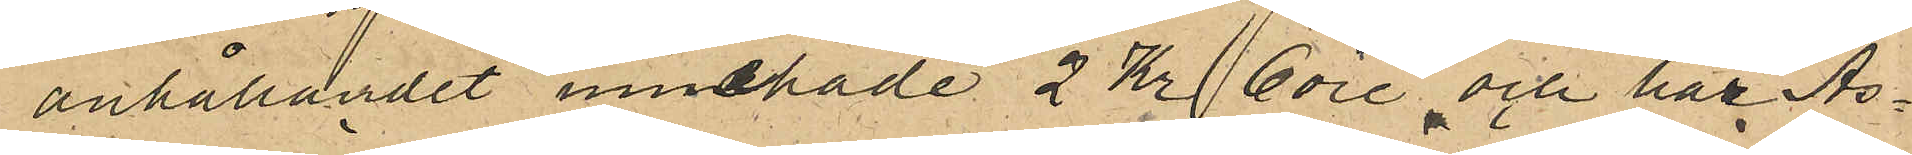anhållandet innehade 2 Kr 6 öre och har Ås¬
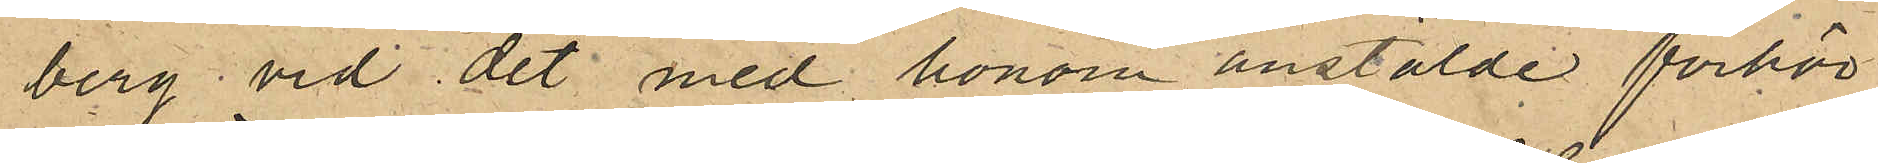berg vid det med honom anstälde förhör
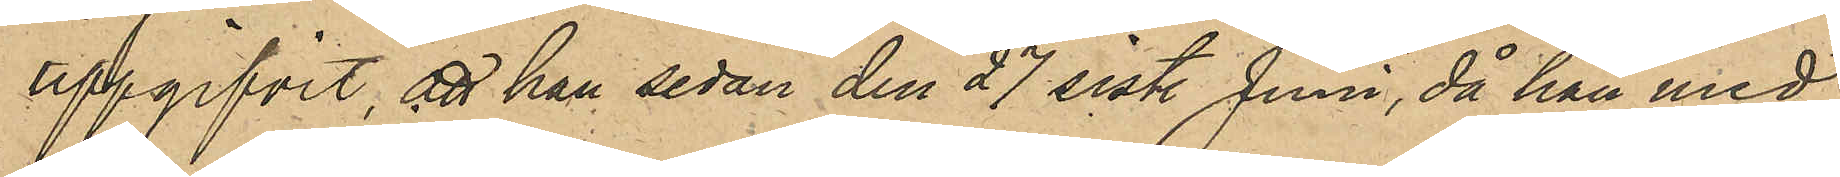uppgifvit, att han sedan den 27 sistl Juni, då han med
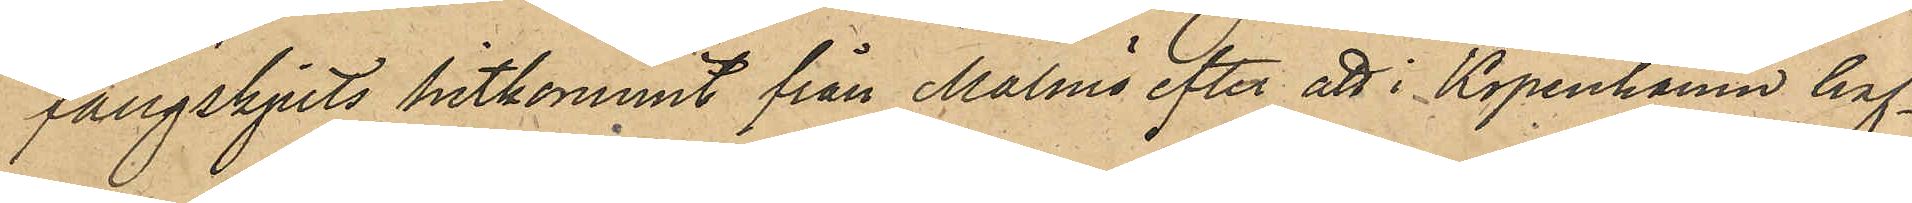fångskjuts hitkommit från Malmö efter att i Köpenhamn haf¬
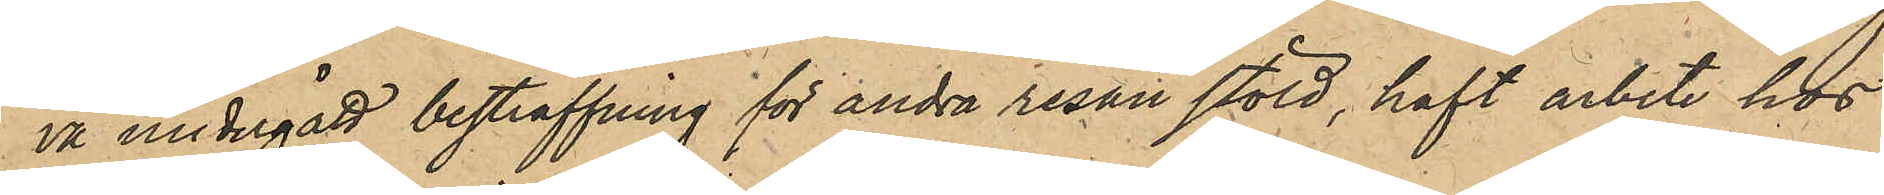va undergått bestraffning för andra resan stöld, haft arbete hos
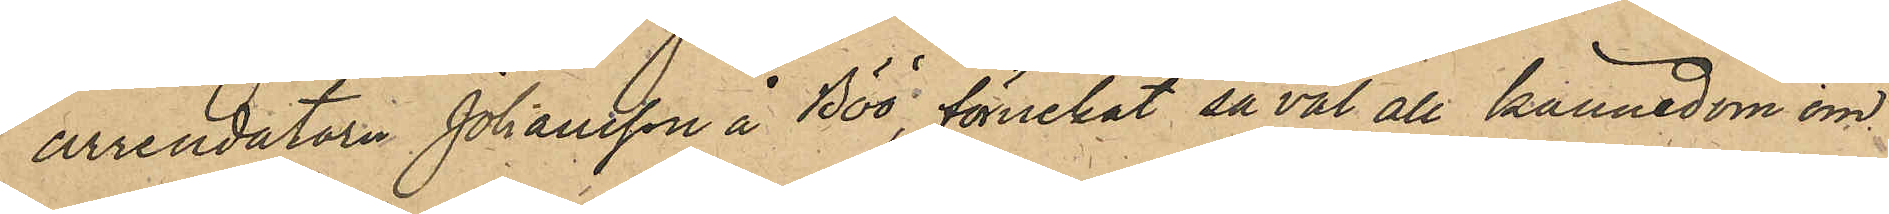arrendatorn Johansson å Böö, förnekat så väl all kännedom om
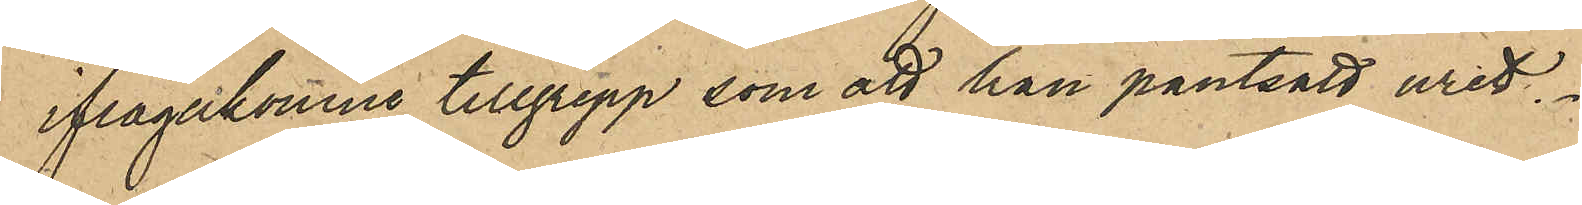ifrågakmne tillgrepp som att han pantsatt uret.
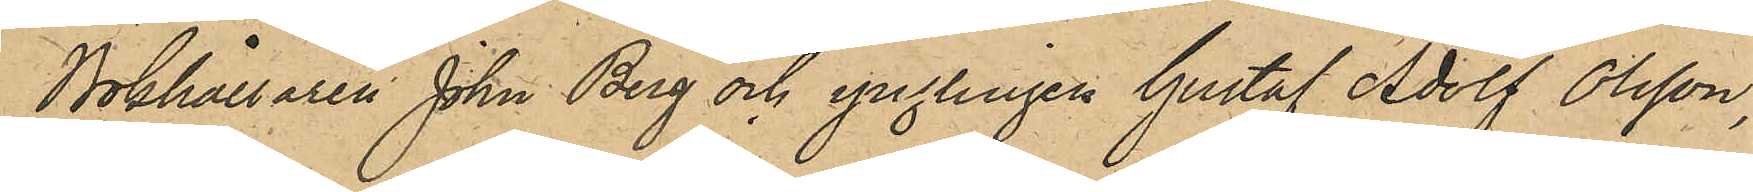Bokhållaren John Berg och ynglingen Gustaf Adolf Olsson,
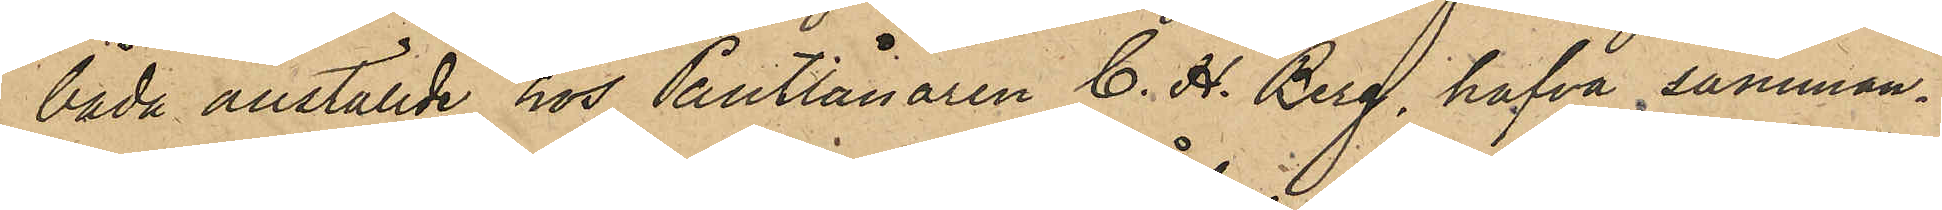båda anställde hos Pantlånaren C. H. Berg hafva samman¬
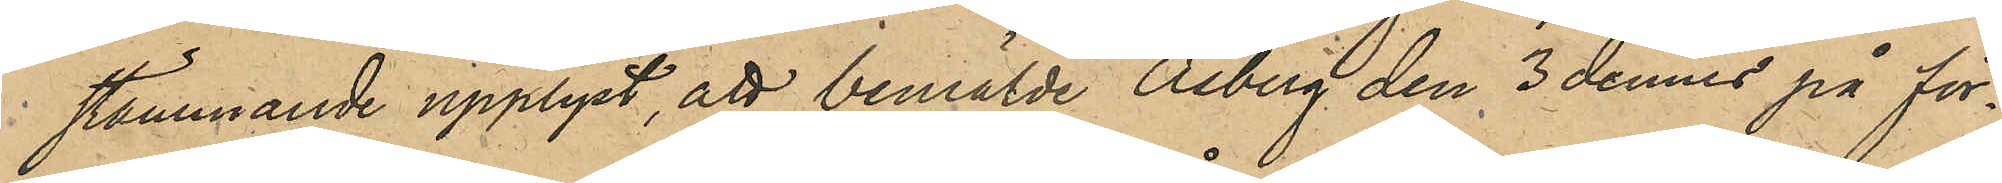stämmande upplyst, att bemälde Åsberg den 3 dennes på för¬
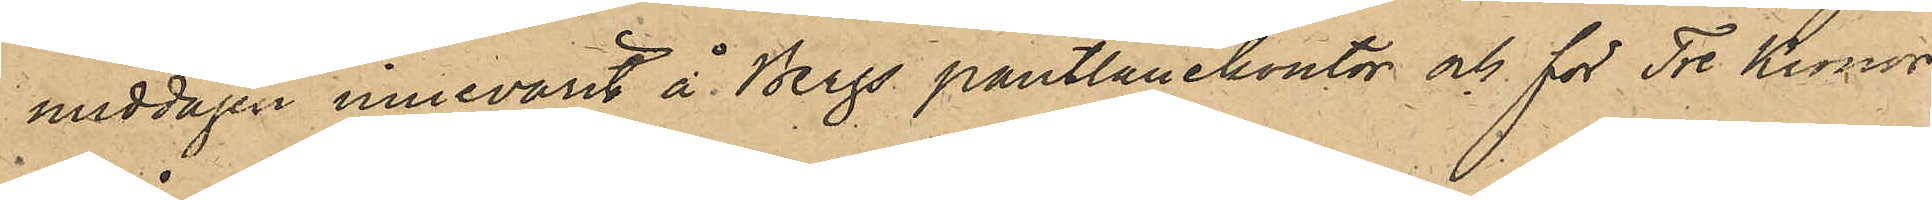middagen innevarit å Bergs pantlånekontor och för Tre Kronor
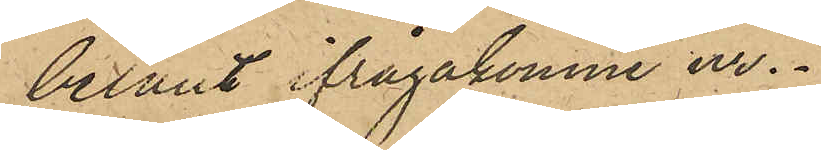belånt ifrågakomne ur.
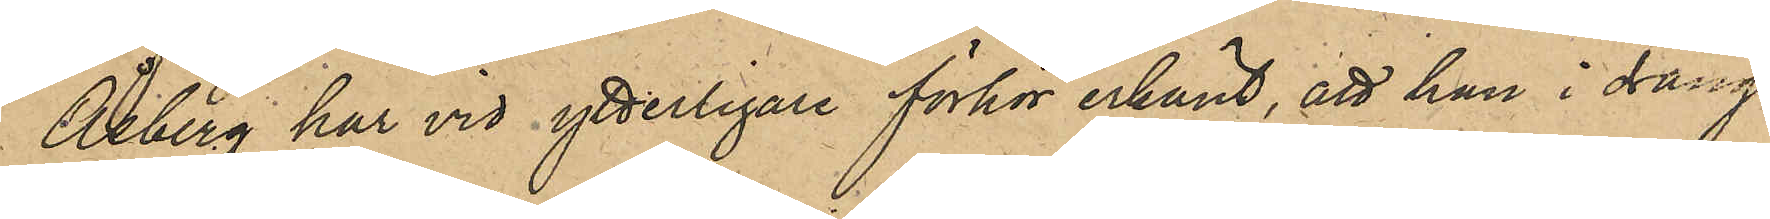Åsberg har vid ytterligare förhör erkänt, att han i dräng¬
